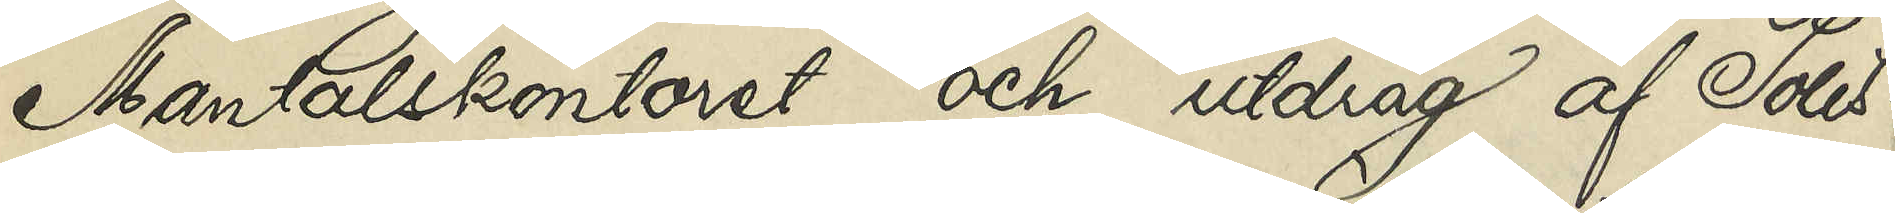Mantalskontoret och utdrag af Polis¬
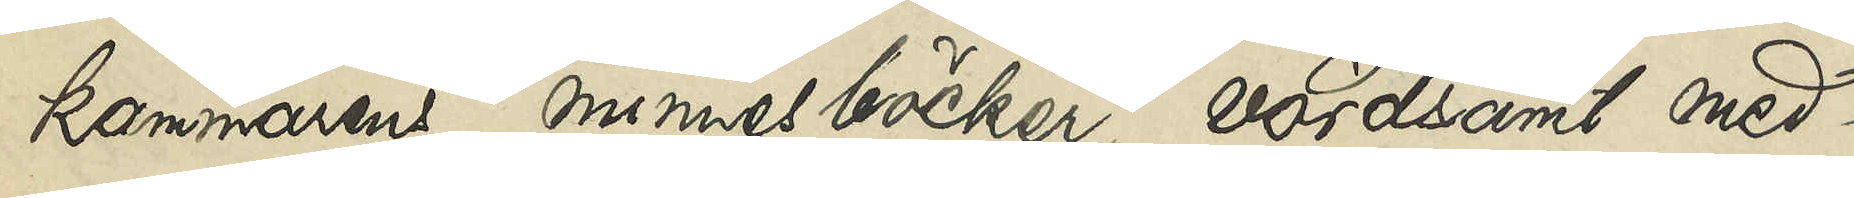kammarens minnesböcker, vördsamt med¬
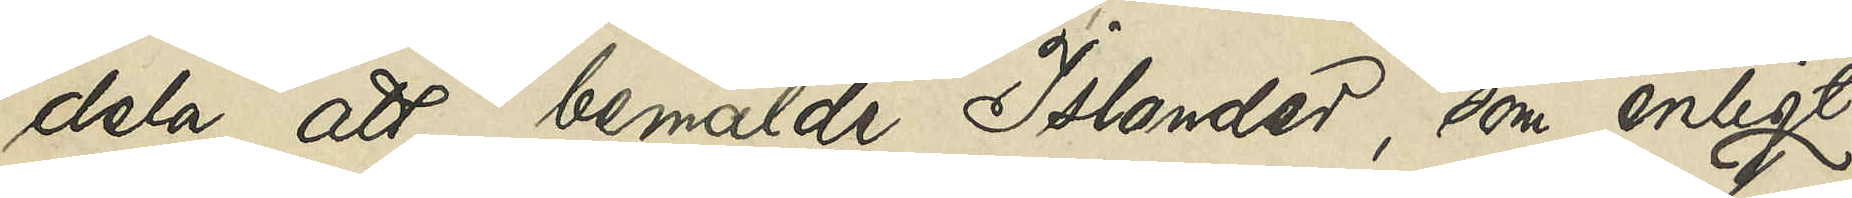dela att bemälde Islander, som enligt
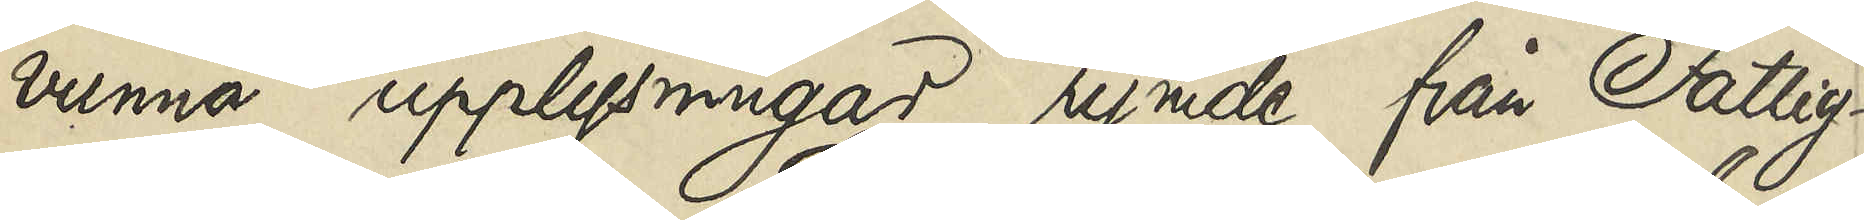vunna upplysningar rymde från Fattig¬
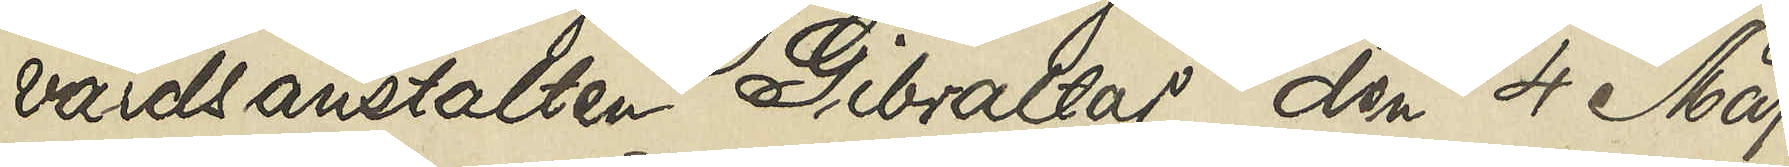vårdsanstalten Gibraltar den 4 Maj
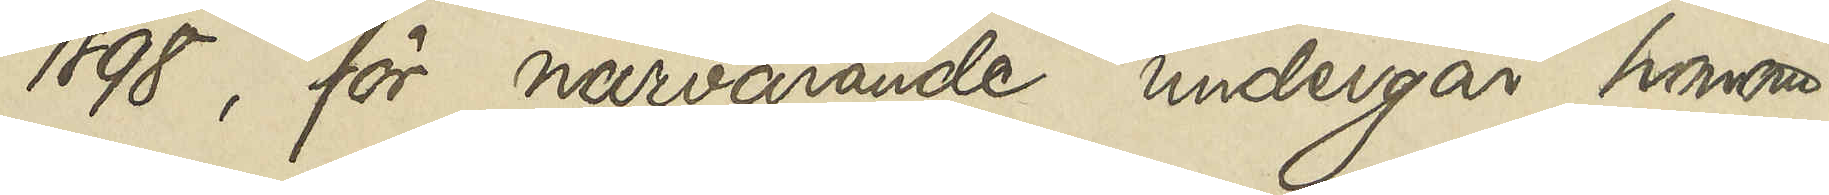1898, för närvarande undergår honom
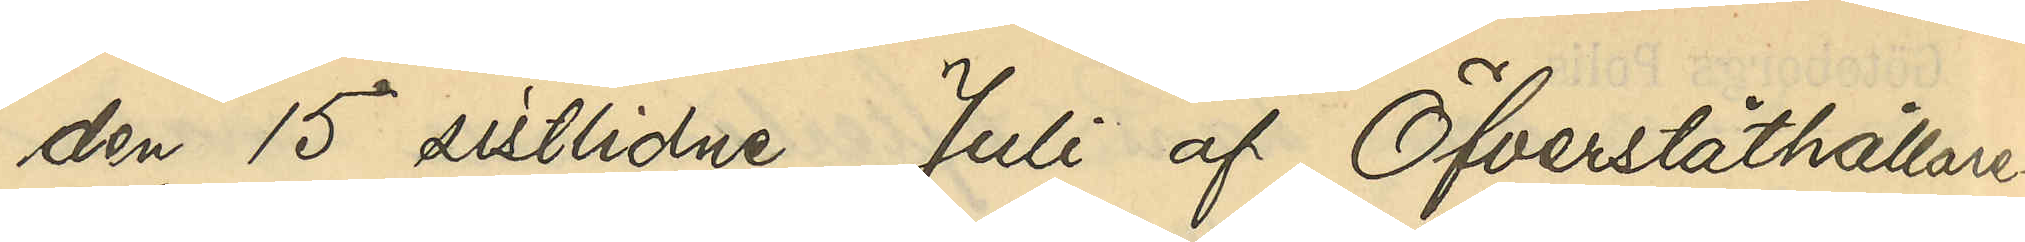den 15 sistlidne Juli af Öfverståthållare¬
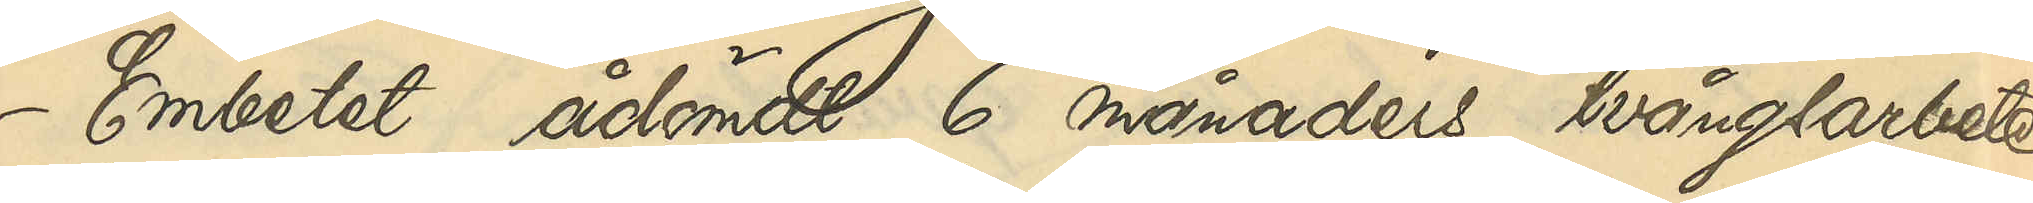Embetet ådömts 6 månaders tvångsarbete,
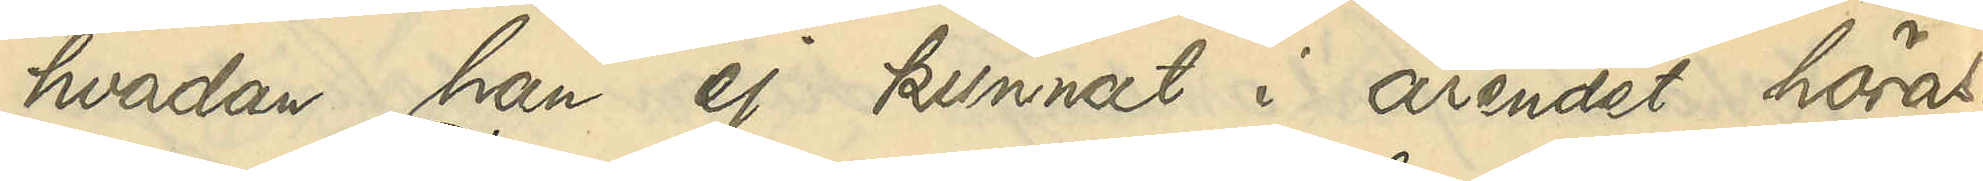hvadan han ej kunnat i ärendet höras.
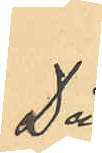Då
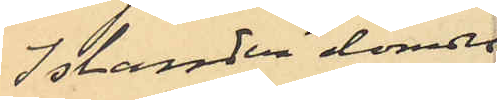Islander dömdes
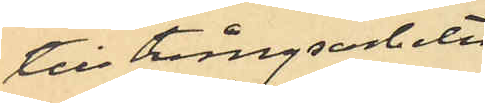till tvångsarbete
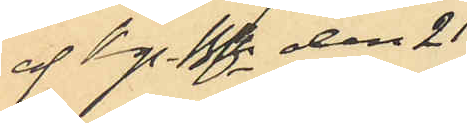af Kgs Bhfn den 21
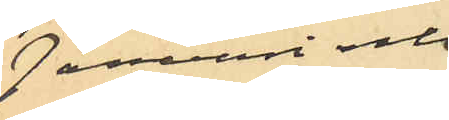Januari och
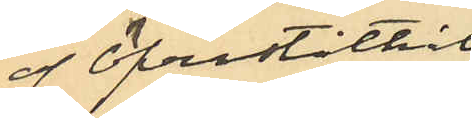af Öfverståthål¬
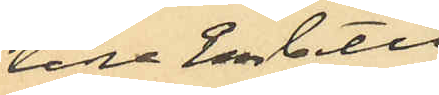lare Embetet
